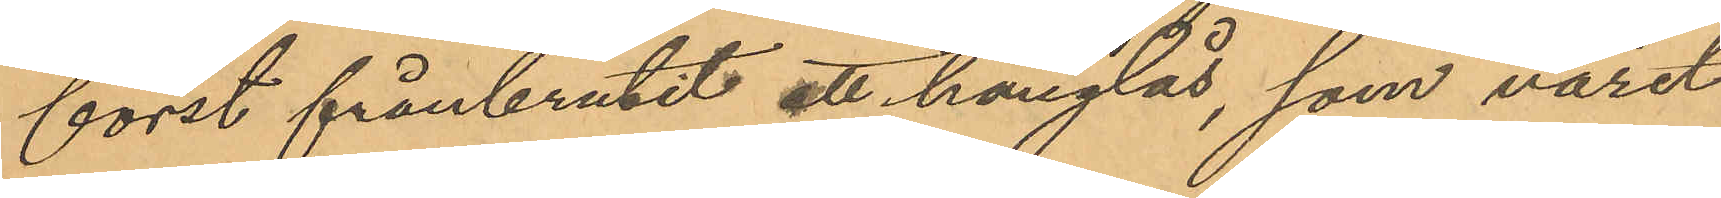först frånbrutit ett hänglås, som varit
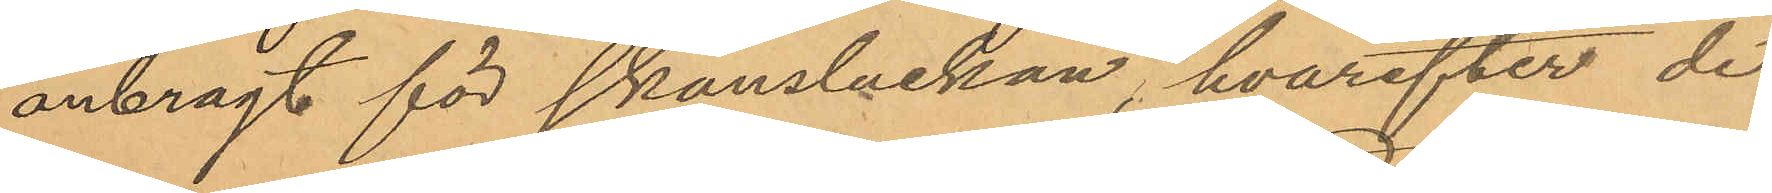anbragt för skansluckan, hvarefter de
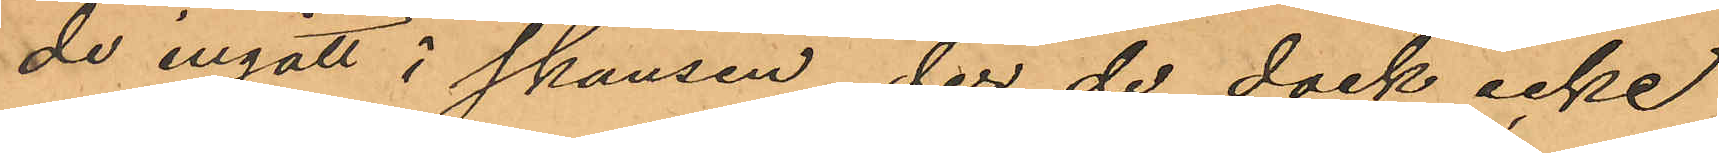de ingått i skansen, der de dock icke
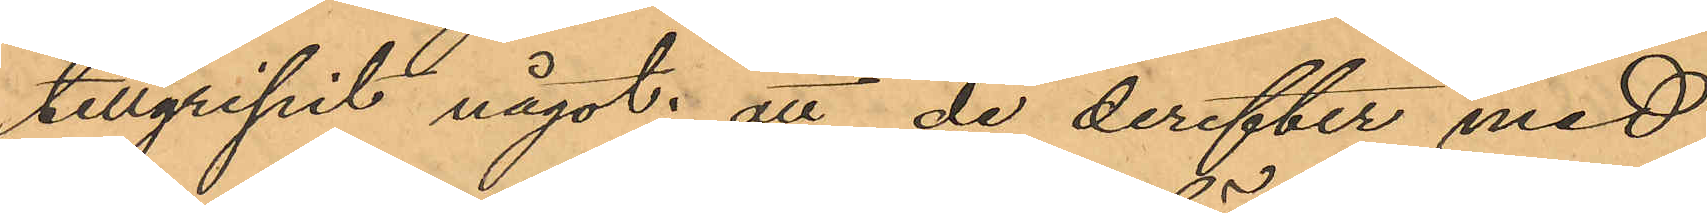tillgripit något; att de derefter med
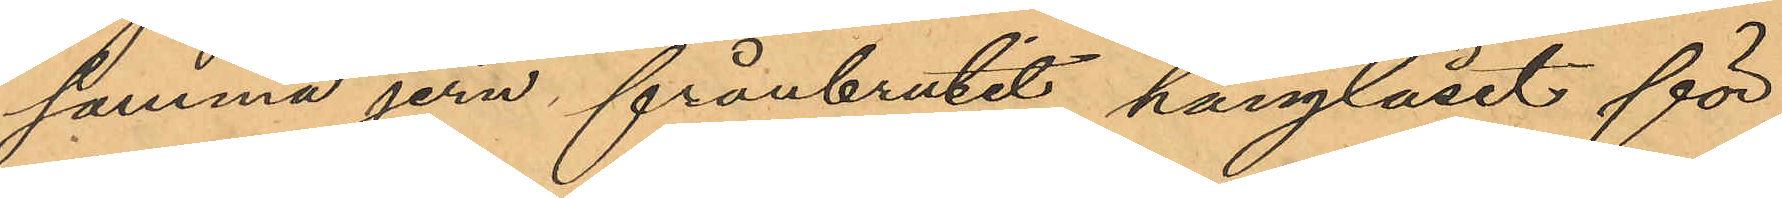samma jern frånbrutit hänglåset för
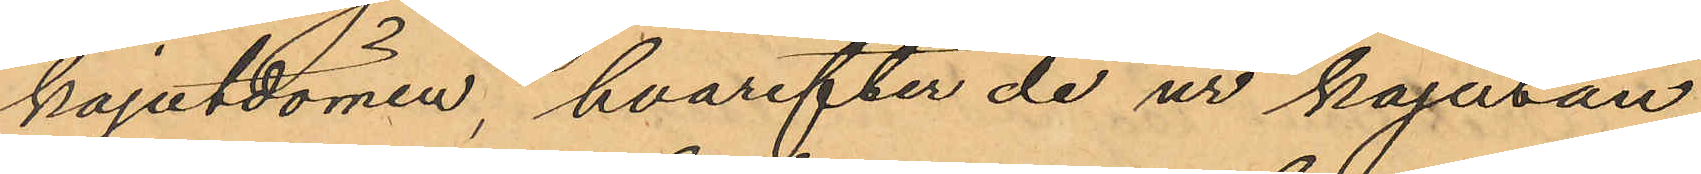kajutdörren, hvarefter de ur kajutan
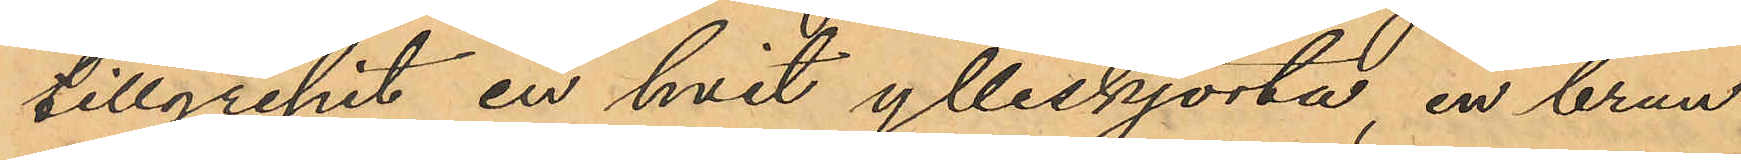tillgripit en hvit ylleskjorta, en brun
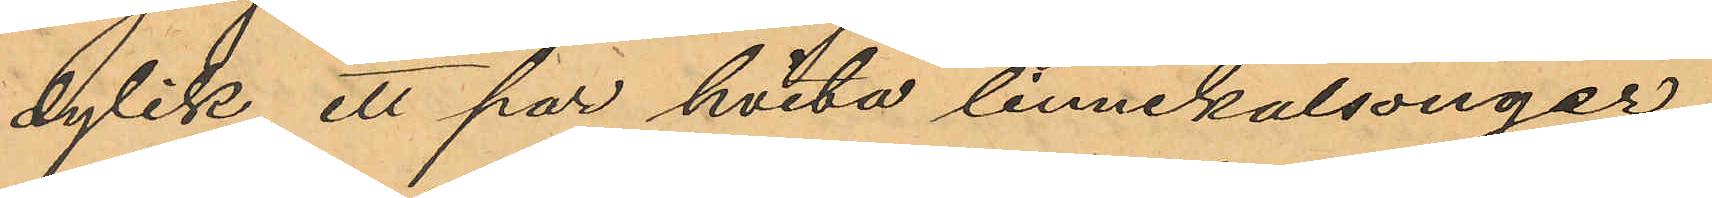dylik, ett par hvita linnekalsonger,
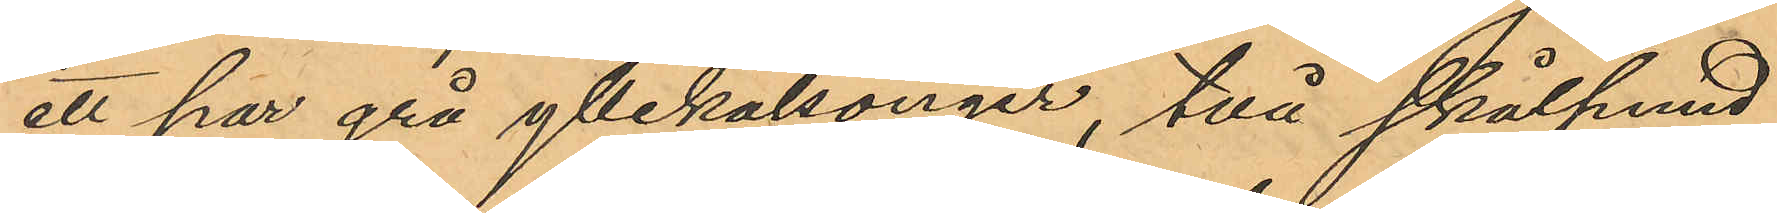ett par grå yllekalsonger, två skålpund
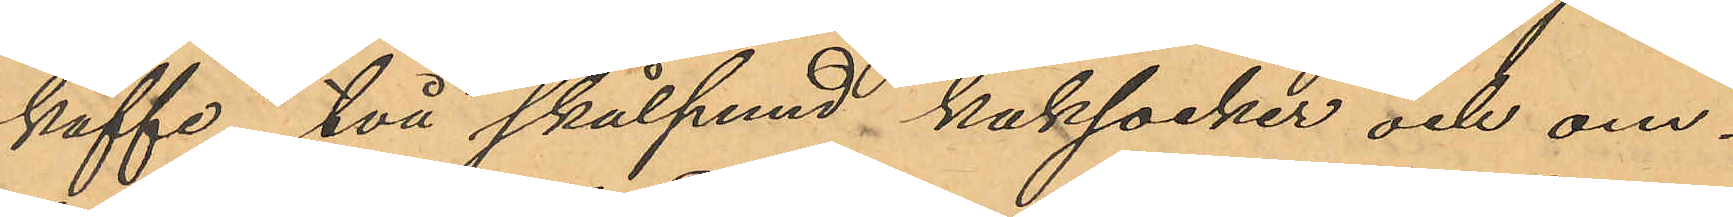kaffe, två skålpund kaksocker och om¬
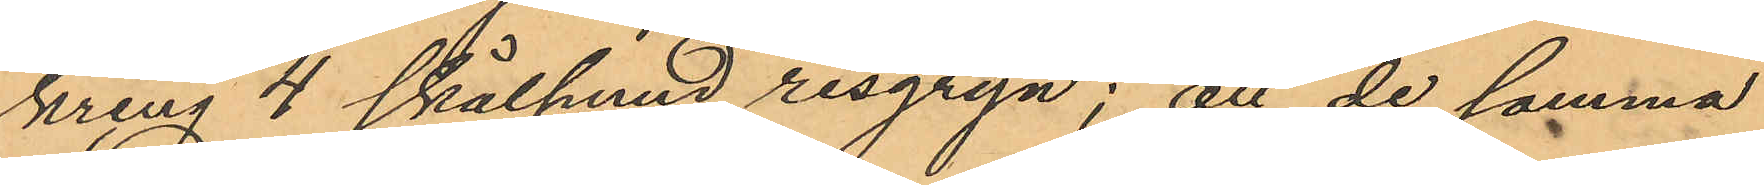kring 4 skålhund risgryn; att de samma
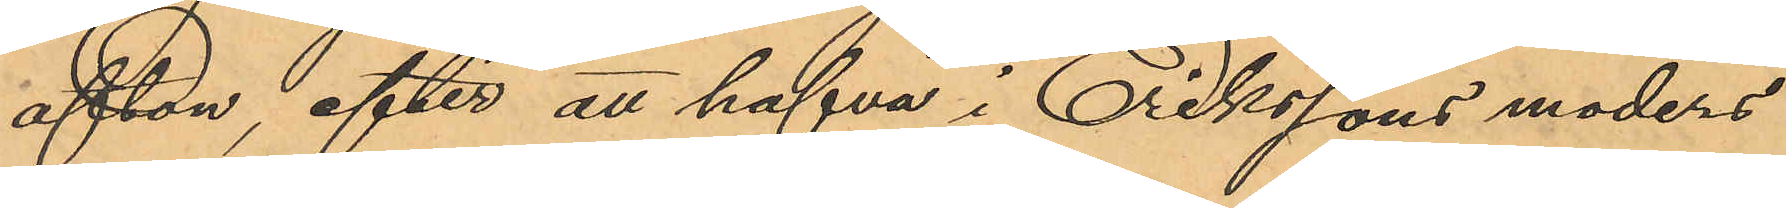afton, efter att hafva i Erikssons moders
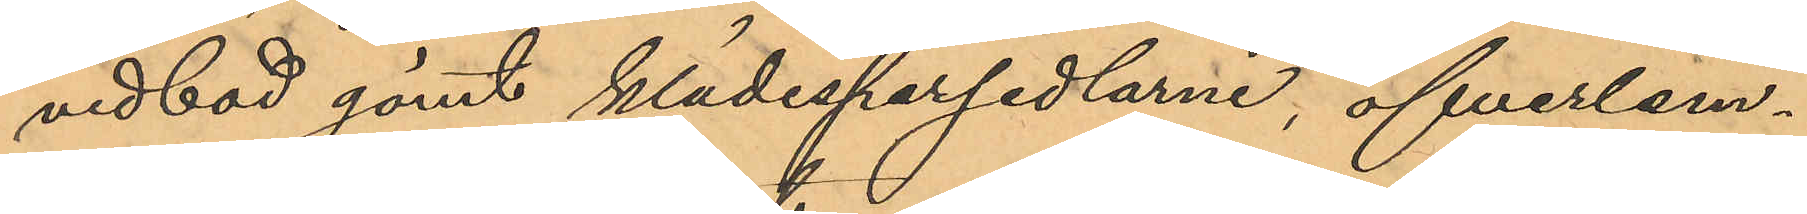vedbod gömt klädespersedlarne, öfverlem¬
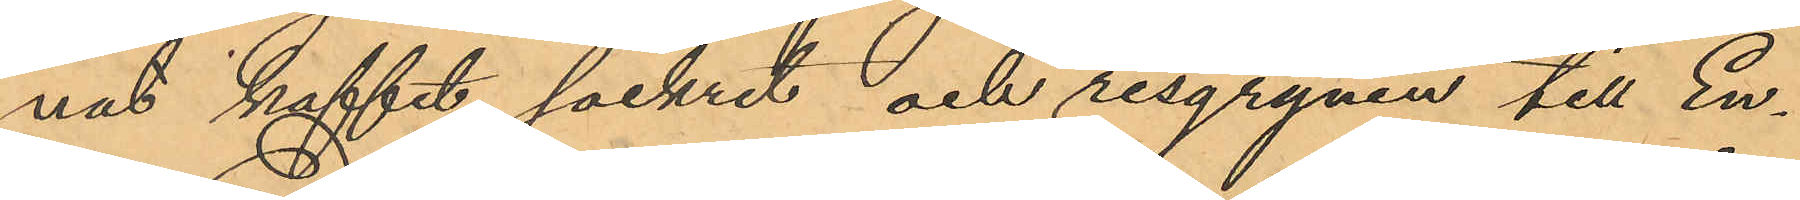nat kaffet, sockret och risgrynen till En¬
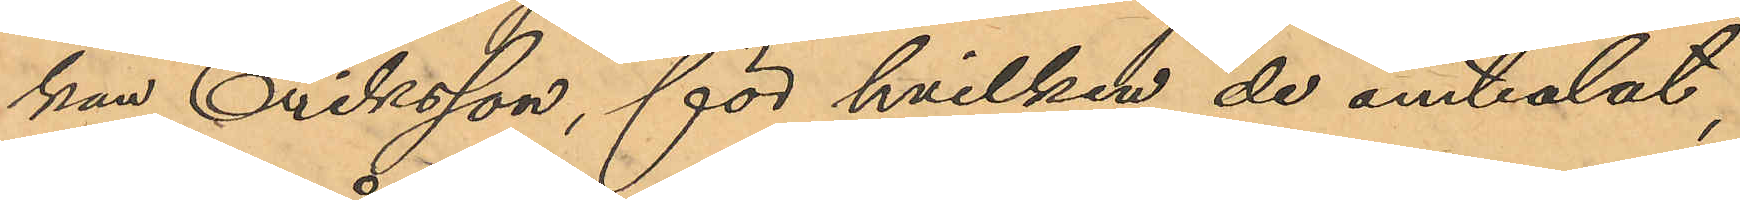kan Eriksson, för hvilken de omtalat,
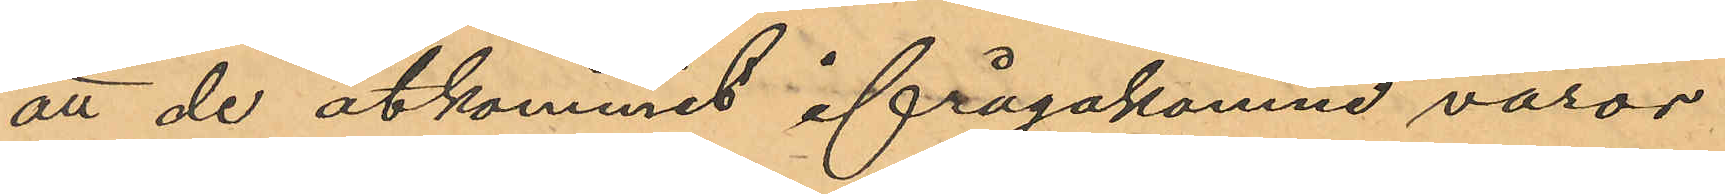att de åtkommit ifrågakomne varor
